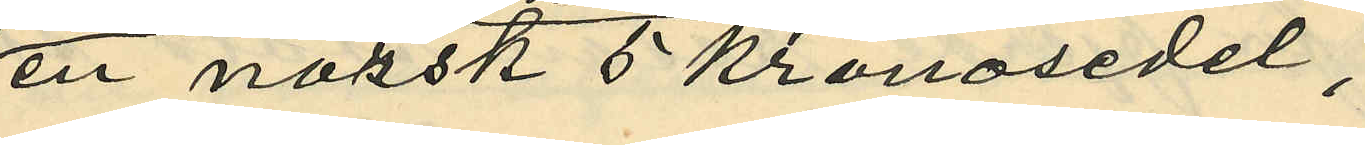en norsk 5 kronosedel;
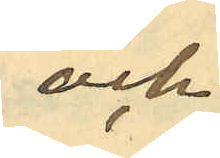och
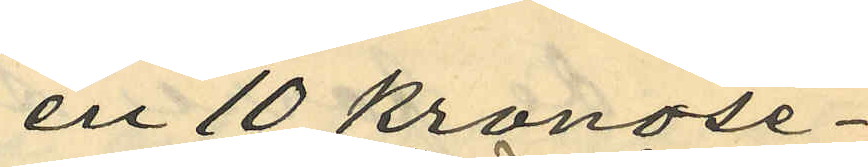en 10 kronose¬
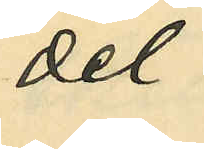del
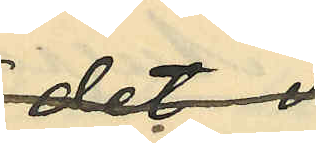utgifven
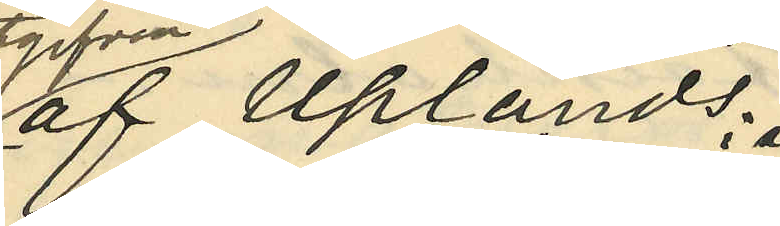af Uplands
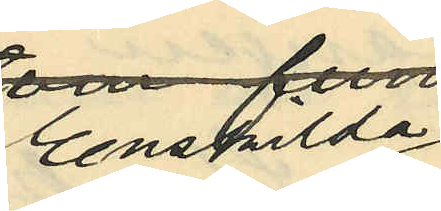Enskilda
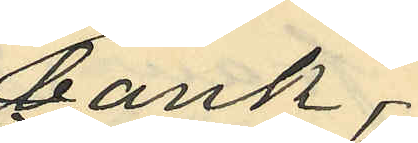bank,
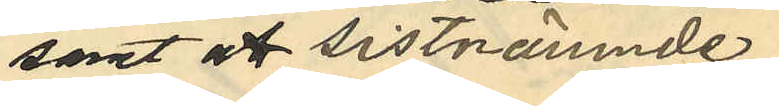samt att sistnämnde
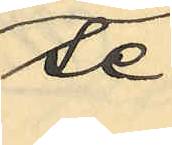se¬
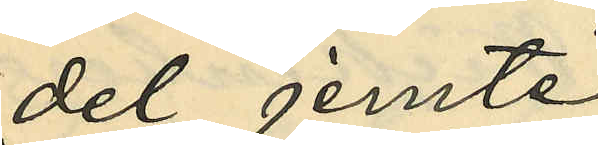del jemte
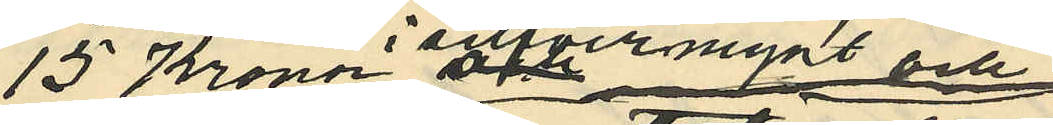15 Kronor i silfvermynt och
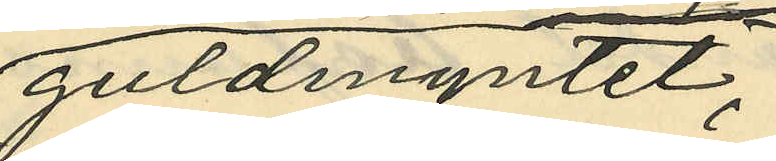guldmyntet,
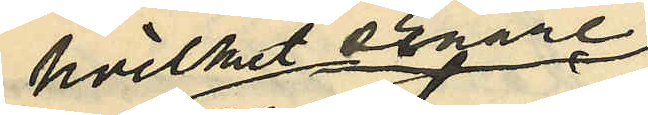hvilket senare
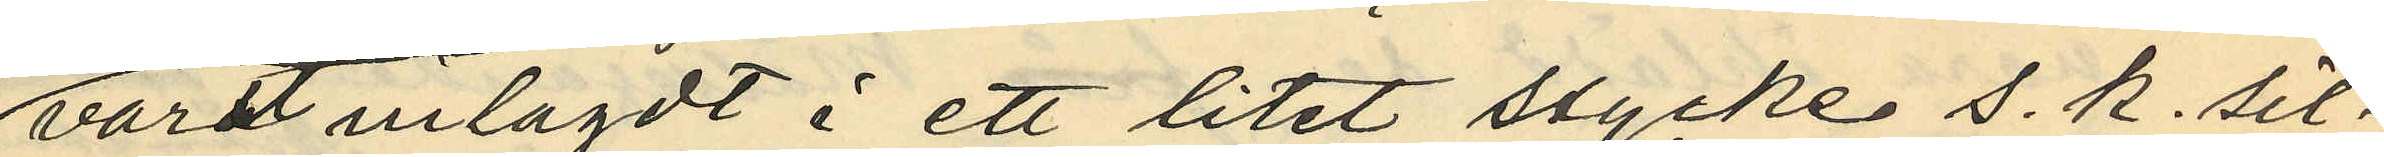varit inlagdt i ett litet stycke s. k. sil¬
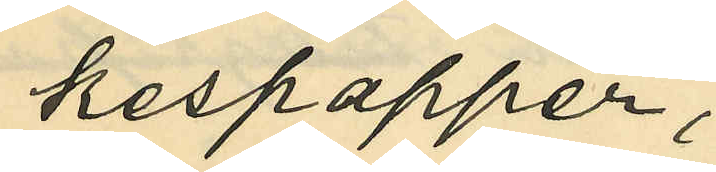kespapper,
